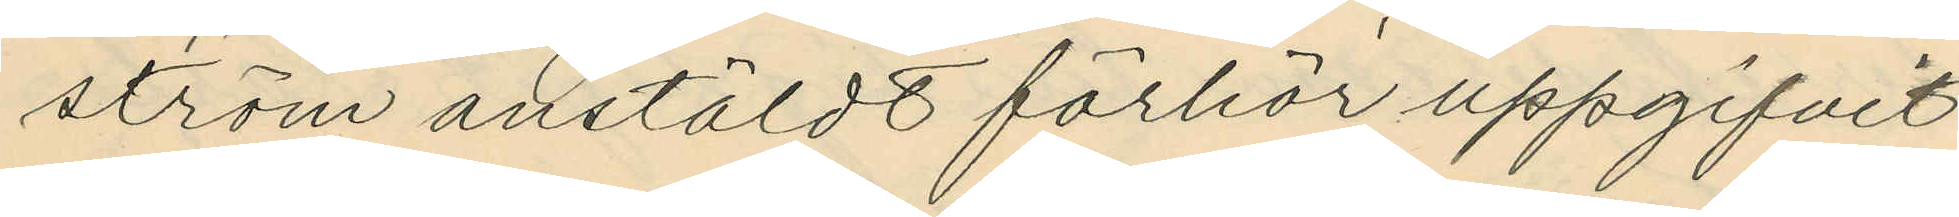ström anstäldt förhör uppgifvit
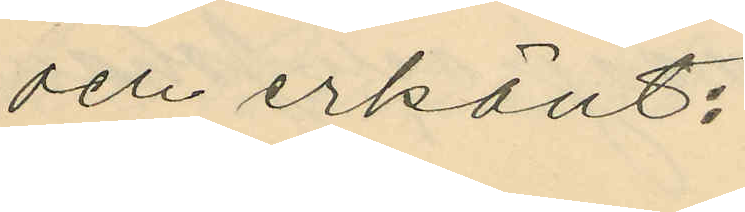och erkänt:
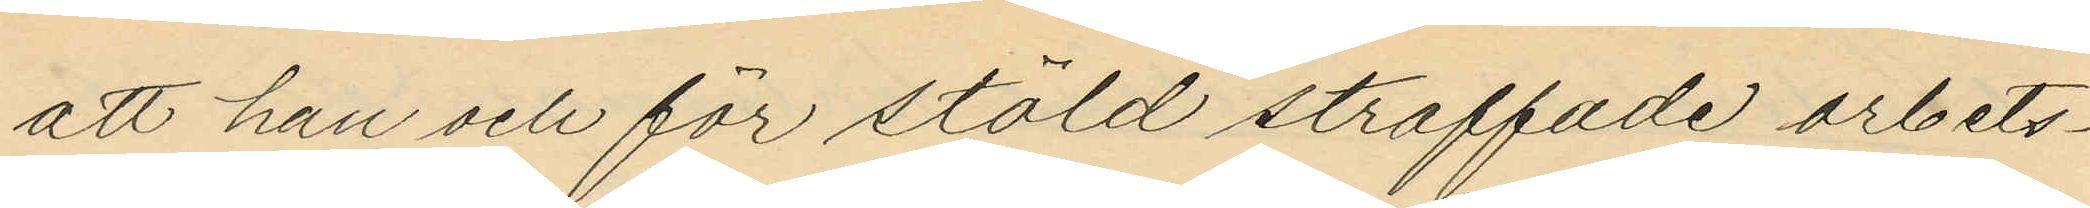att han och för stöld straffade arbets¬
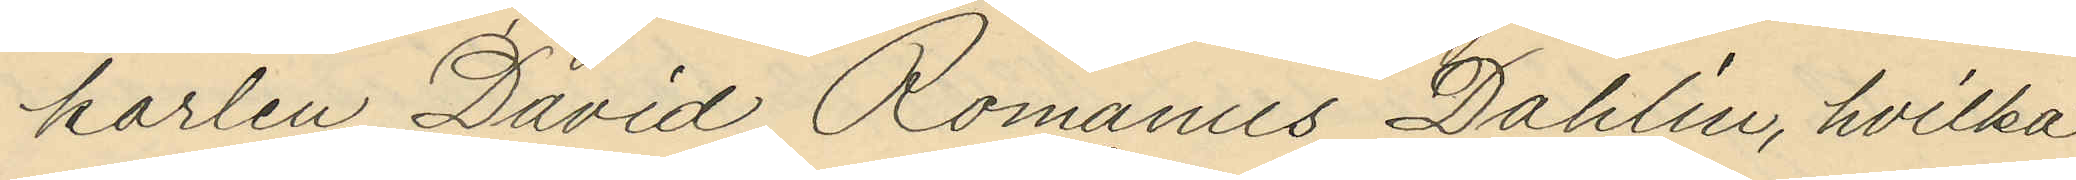karlen David Romanus Dahlin, hvilka
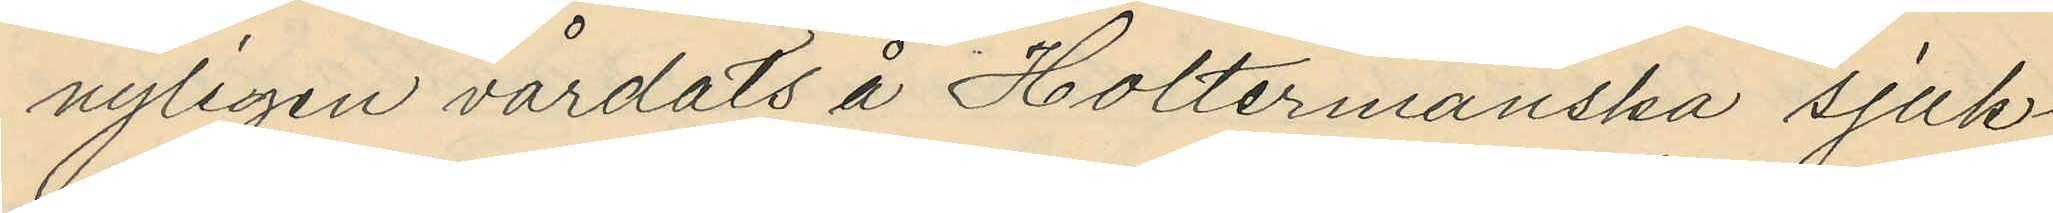nyligen vårdats å Holtermanska sjuk¬
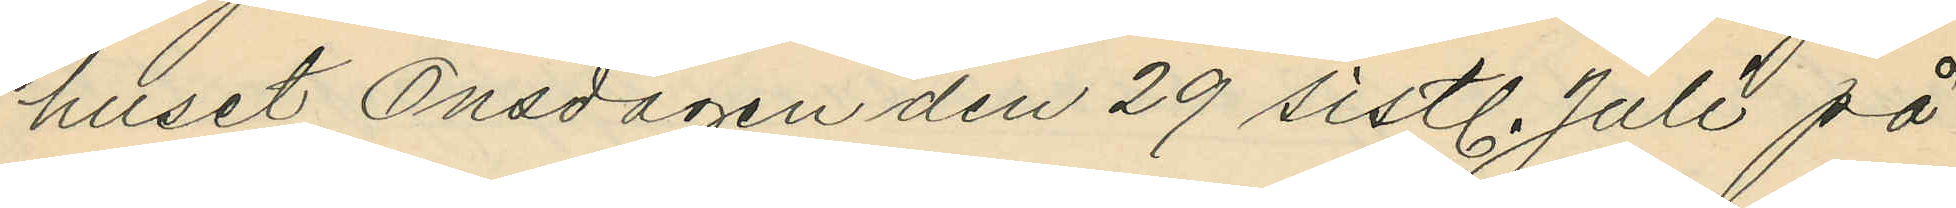huset Onsdagen den 29 sistl. Juli på
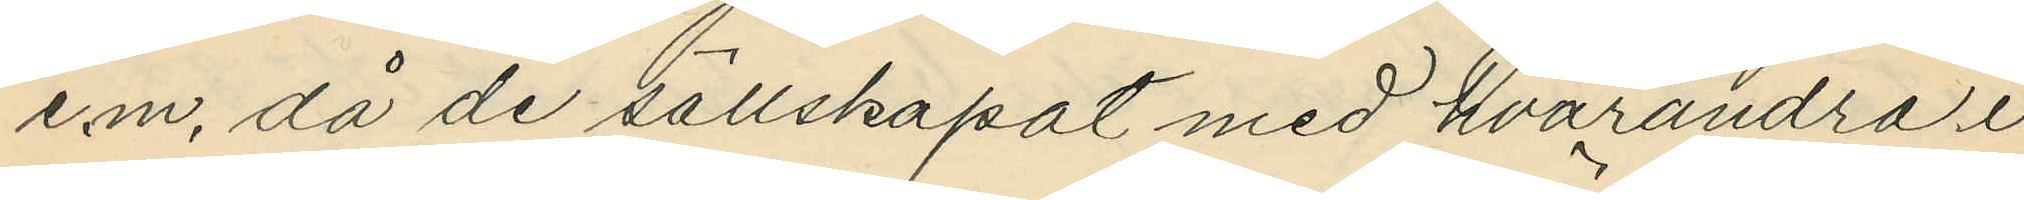e.m, då de sällskapat med hvarandra i
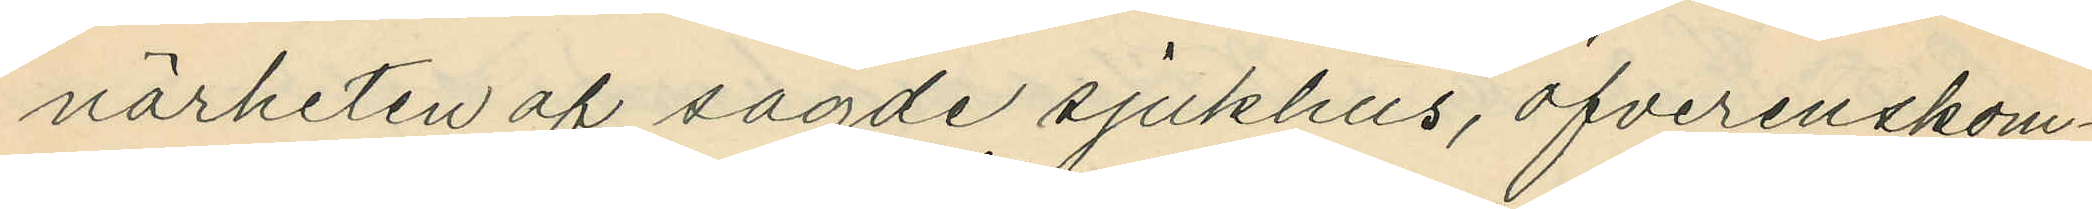närheten af sagde sjukhus, öfverenskom¬
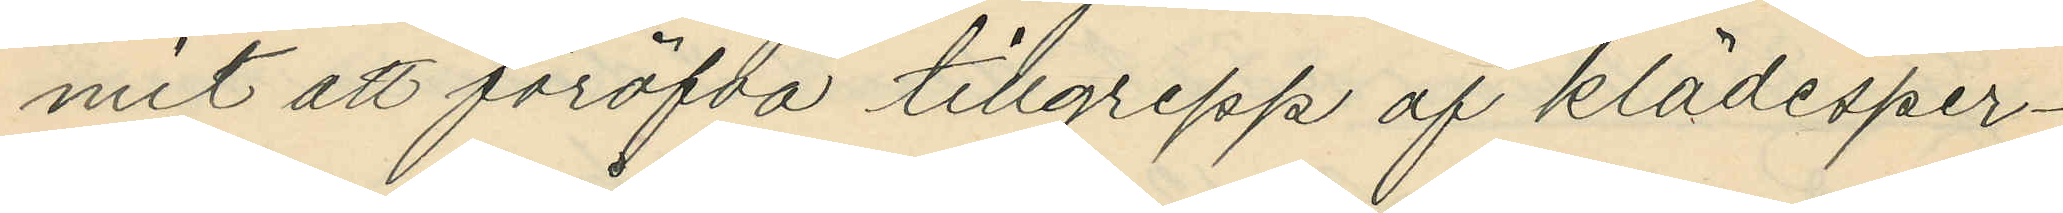mit att föröfva tillgrepp af klädesper¬
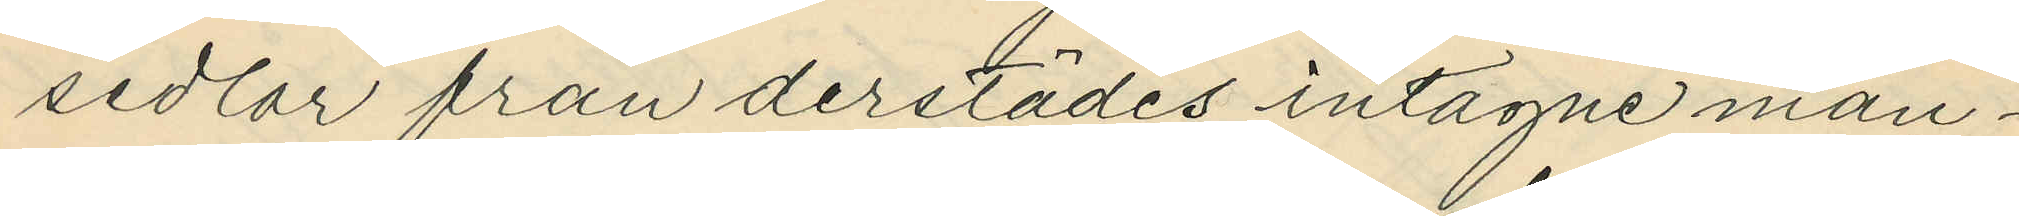sedlar från derstädes intagne man¬
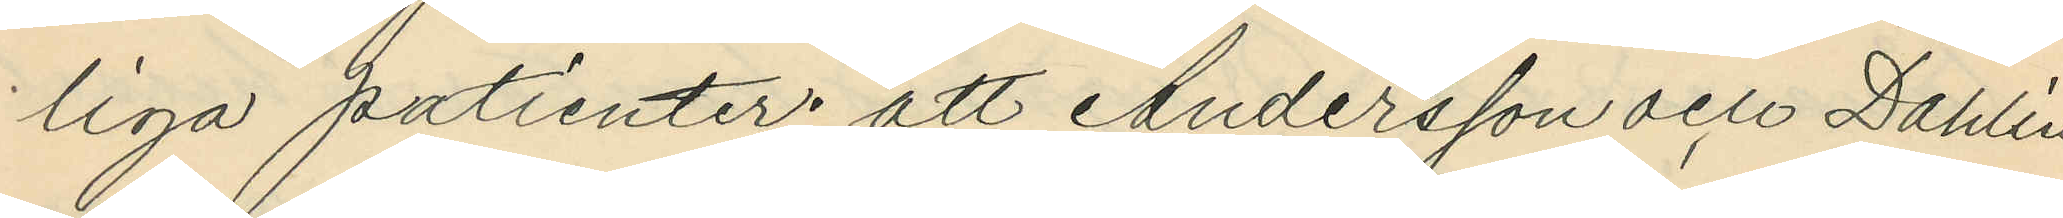liga patienter; att Andersson och Dahlin
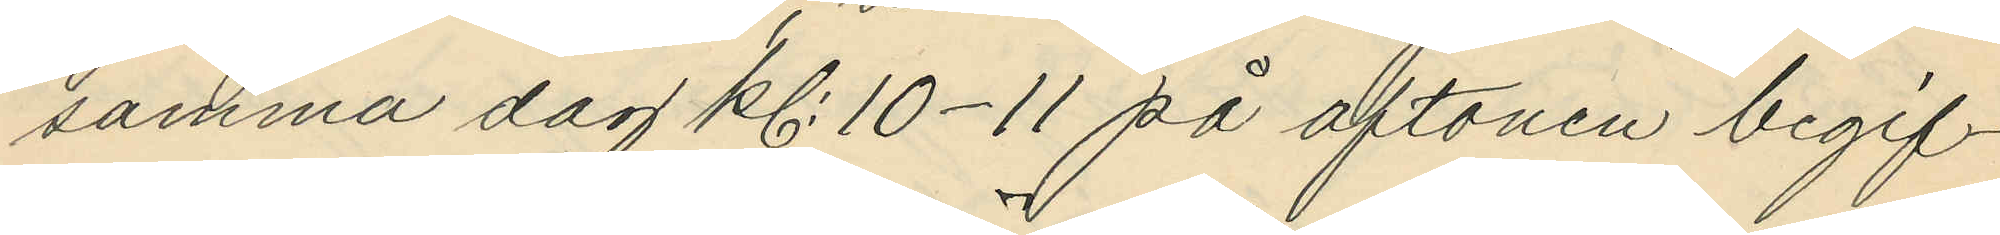samma dag kl. 10-11 på aftonen begif¬
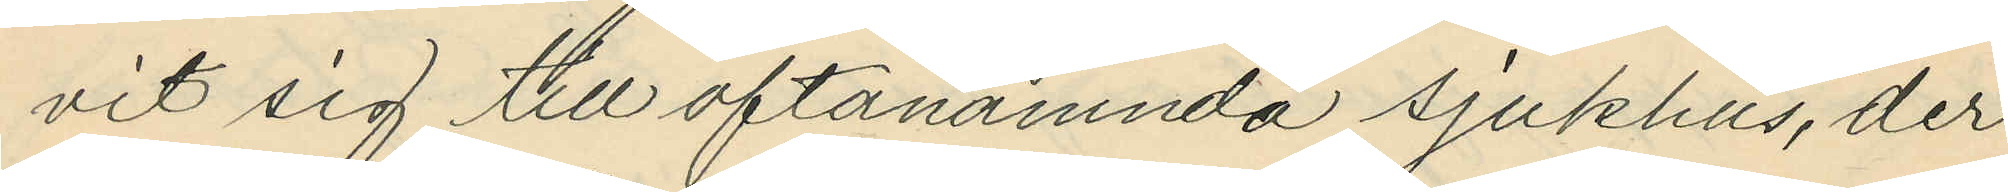vit sig till oftanämnda sjukhus, der
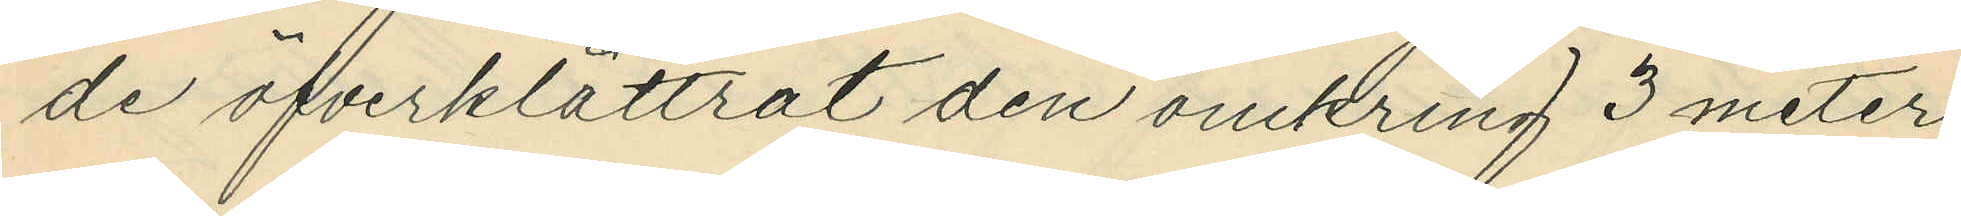de öfverklättrat den omkring 3 meter
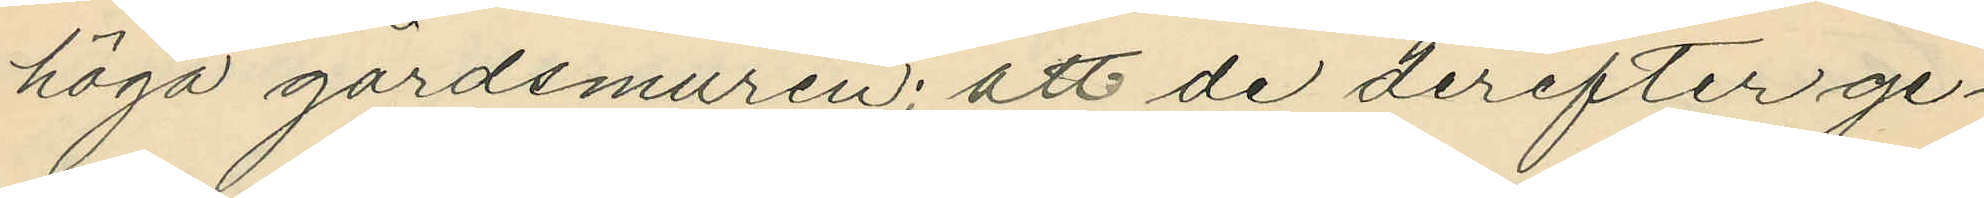höga gårdsmuren; att de derefter ge¬
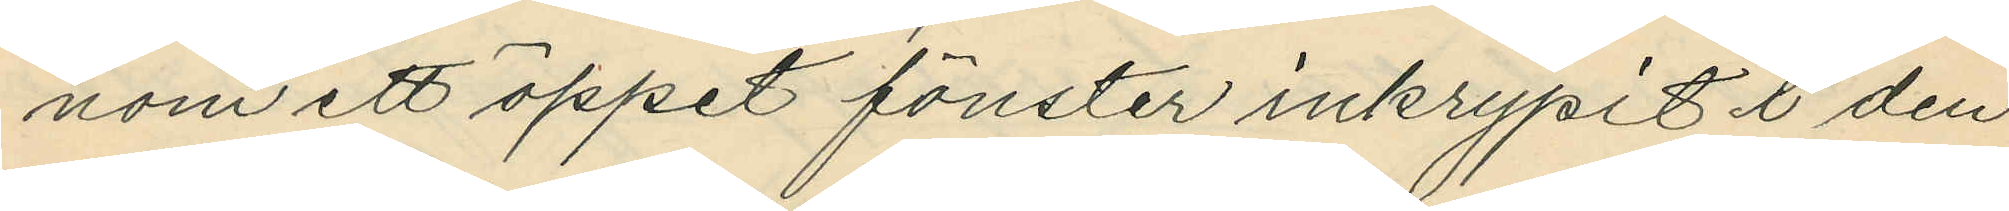nom ett öppet fönster inkrypit i den
